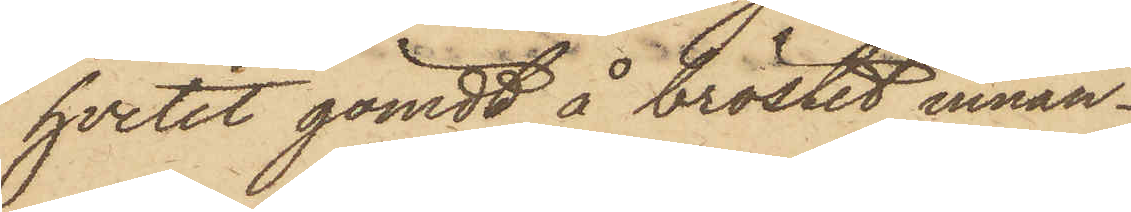hvetet gömdt å bröstet innan¬
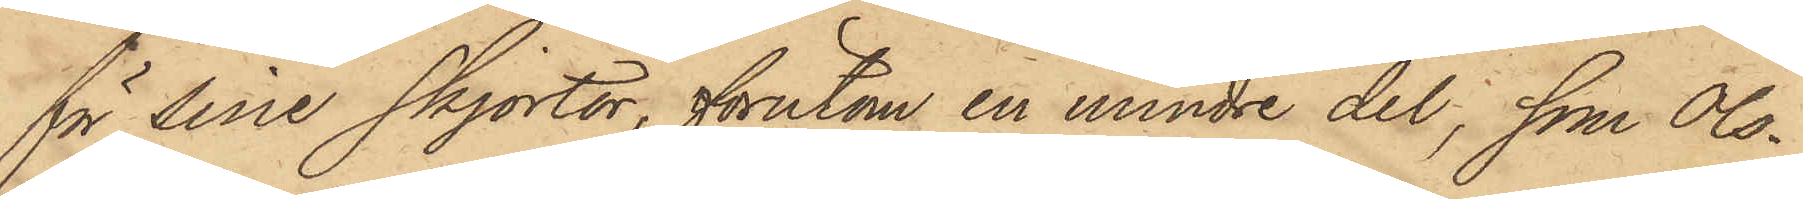för sine skjortor, förutom en mindre del, som Ols¬
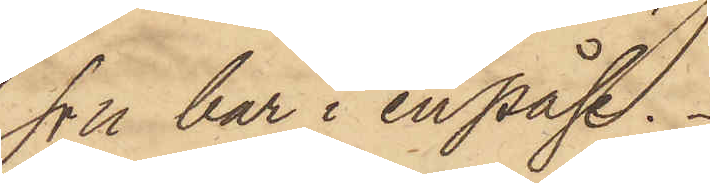son bar i en påse.
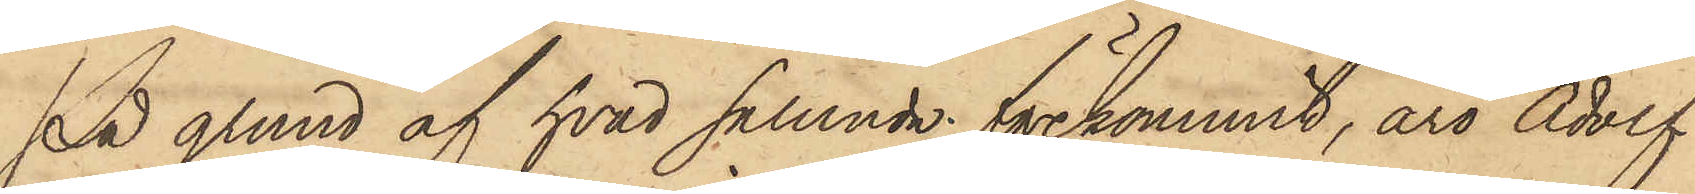På grund af hvad sålunda förekommit, äro Adolf
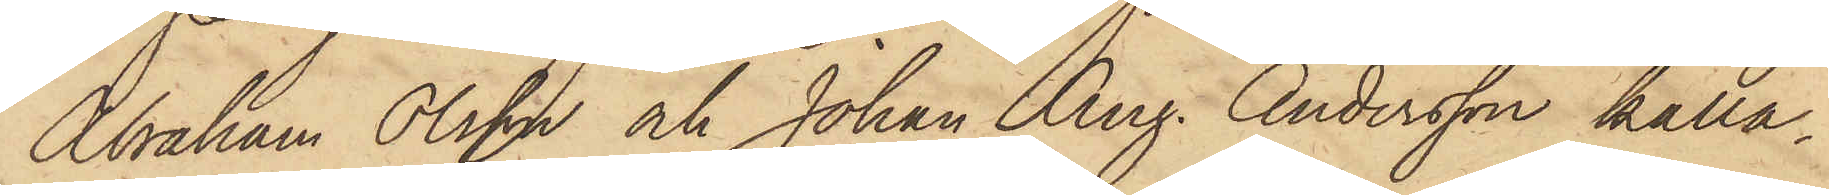Abraham Olsson och Johan Aug. Andersson kalla¬
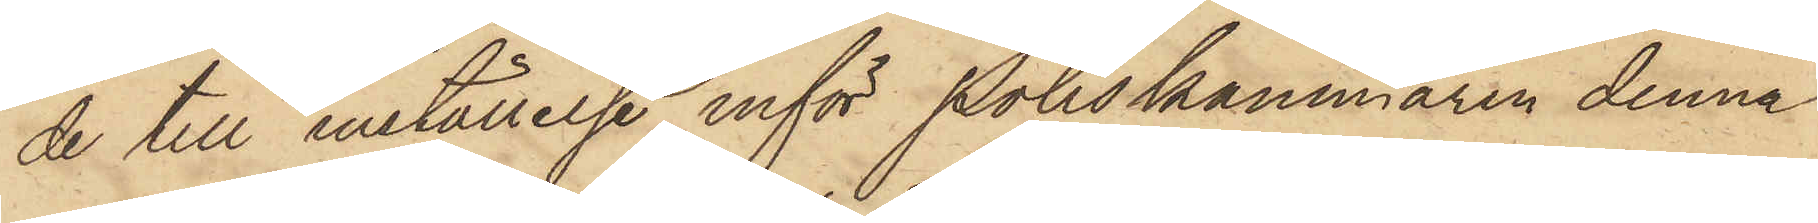de till inställelse inför Poliskammaren denna
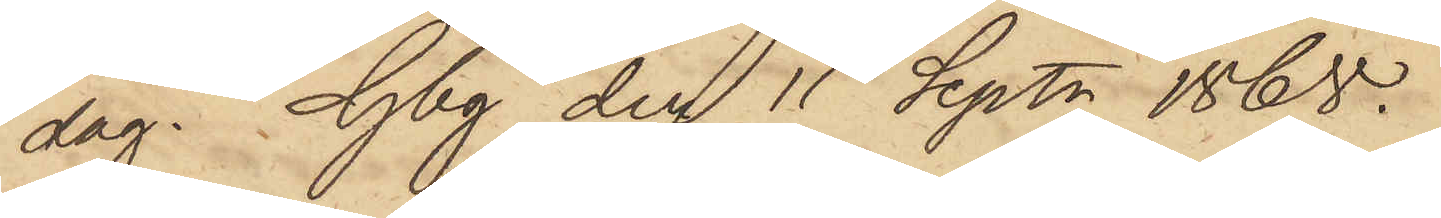dag. Gbg den 11 Sept. 1868.
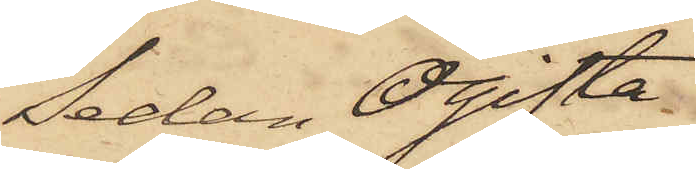Sedan Ogifta
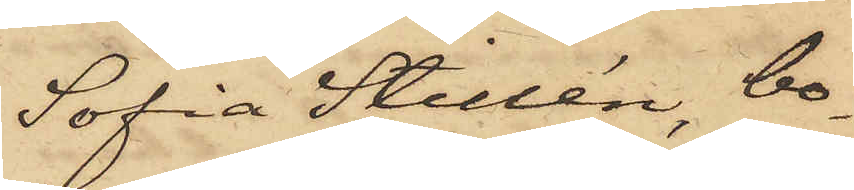Sofia Stillén, bo¬
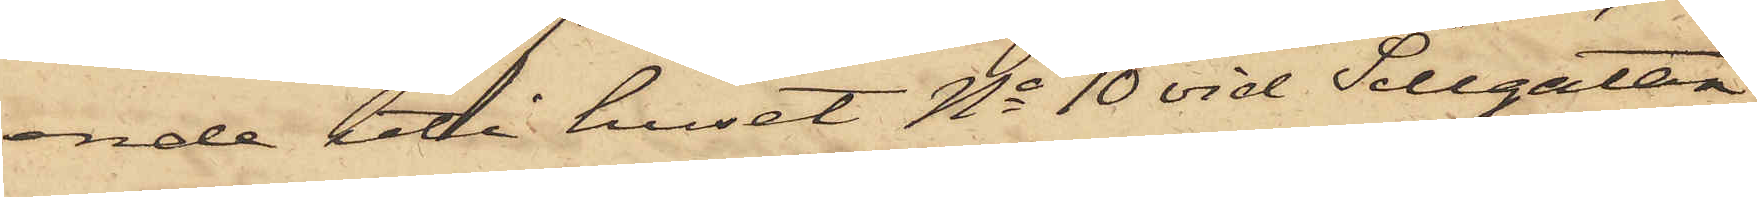ande uti huset No 10 vid Sillgatan,
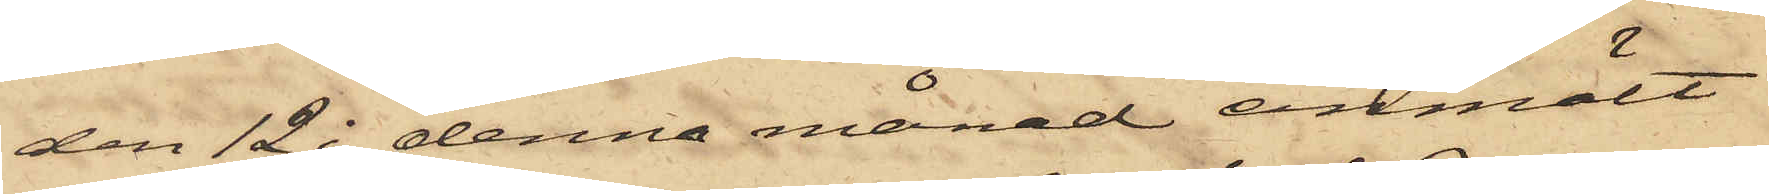den 12 i denna månad anmält
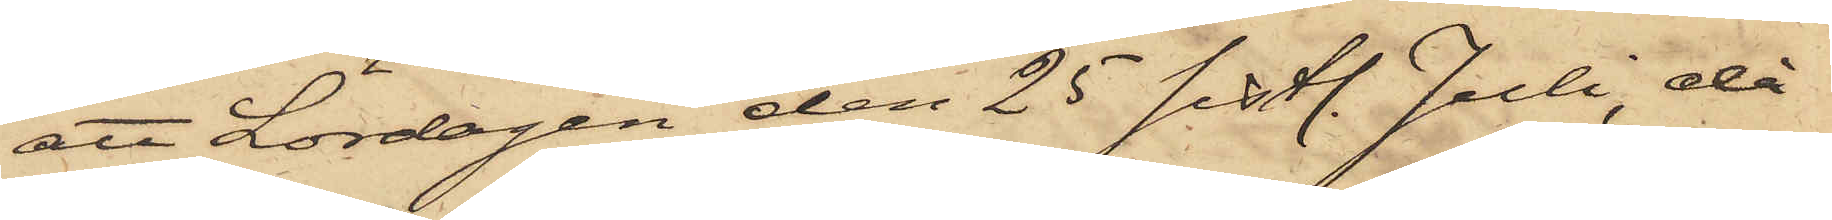att Lördagen den 25 sistl. Juli, då
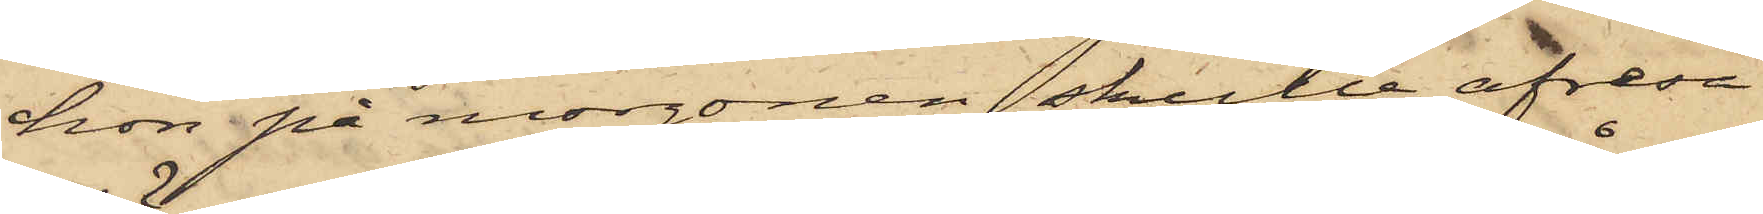hon på morgonen skulle afresa
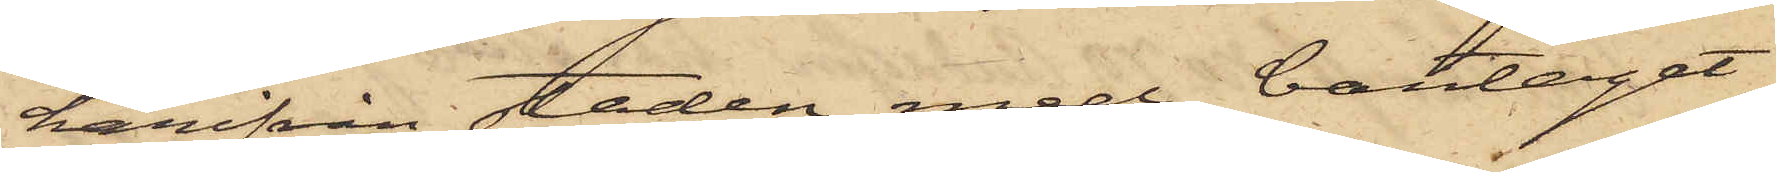härifrån staden med bantåget
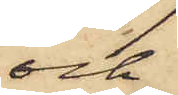och
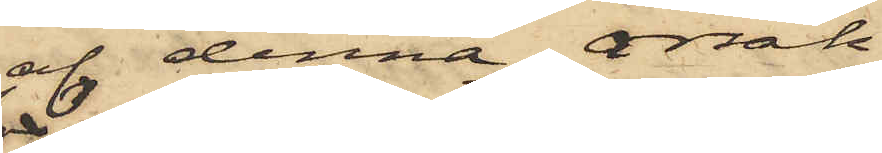af denna orsak
